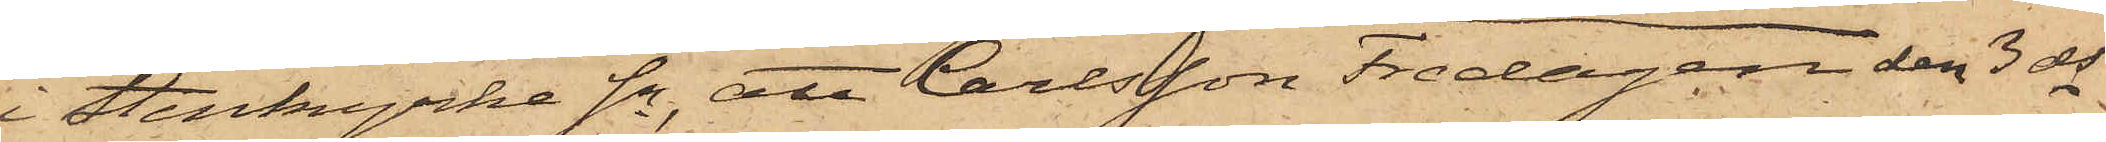i Stenkyrke Sn, att Carlsson Fredagen den 3 ds
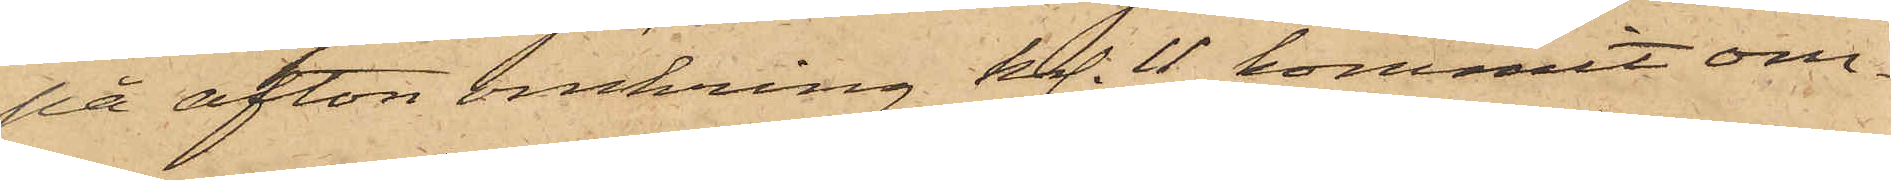på afton omkring kl. 11 kommit om¬
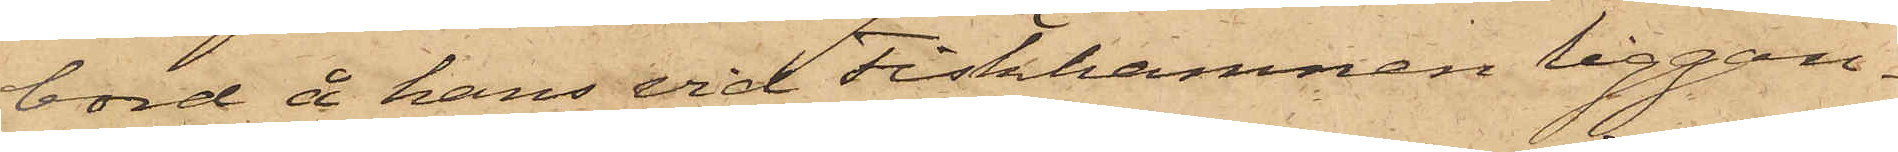bord å hans vid Fiskhamnen liggan¬
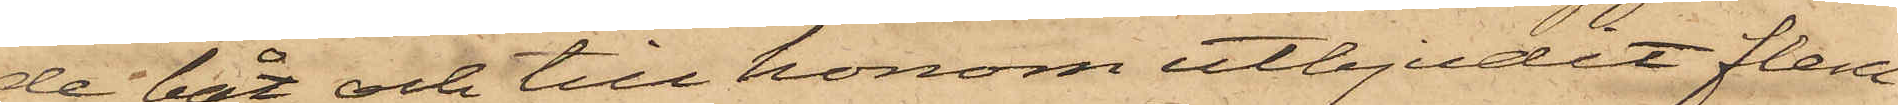de båt och till honom utbjudit flera
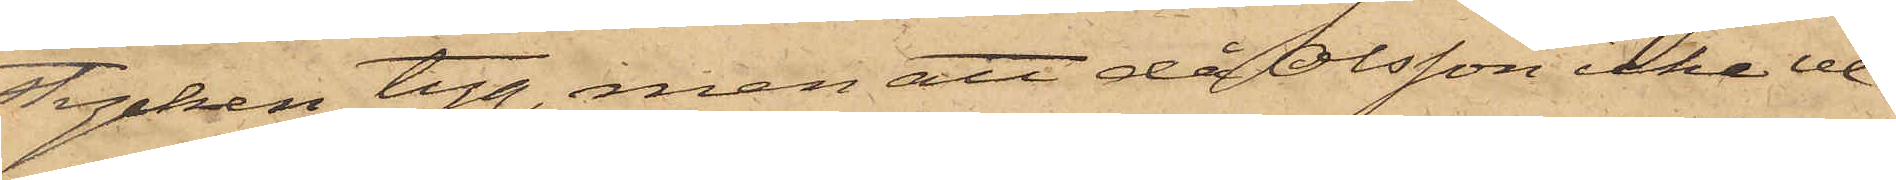stycken tyg, men att då Olsson icke ve¬
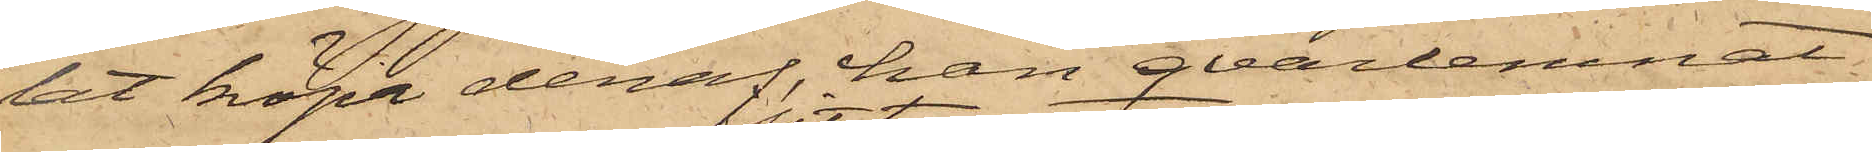lat köpa deraf, han qvarlemnat
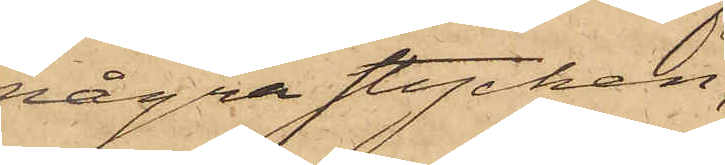några stycken
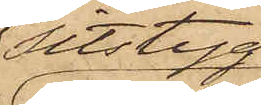sitstyg,
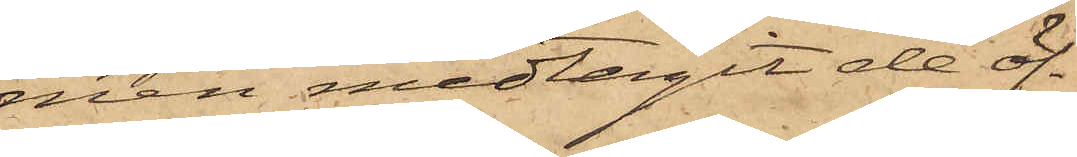men medtagit de öf¬
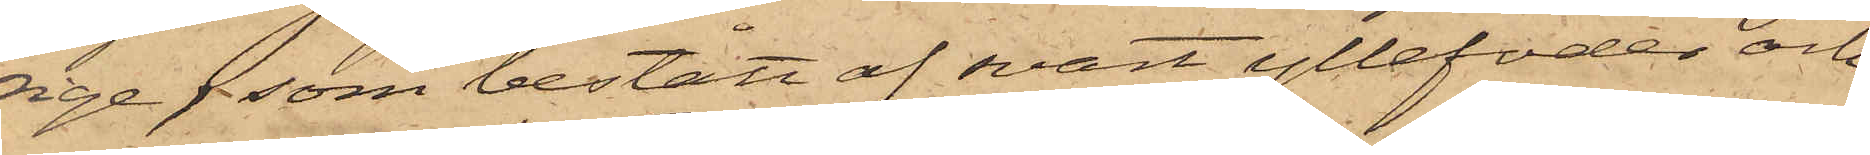rige, som bestått af svart yllefoder och
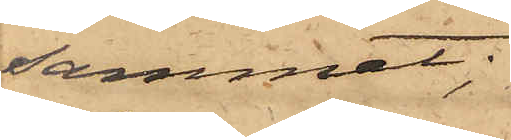sammet;
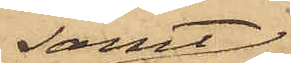samt
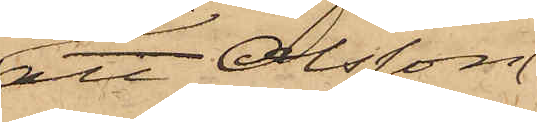att Olsson
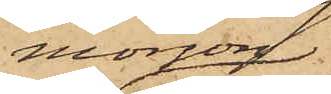morgon
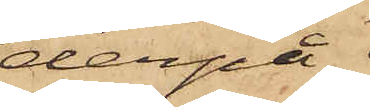derpå
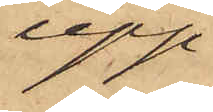upp¬
